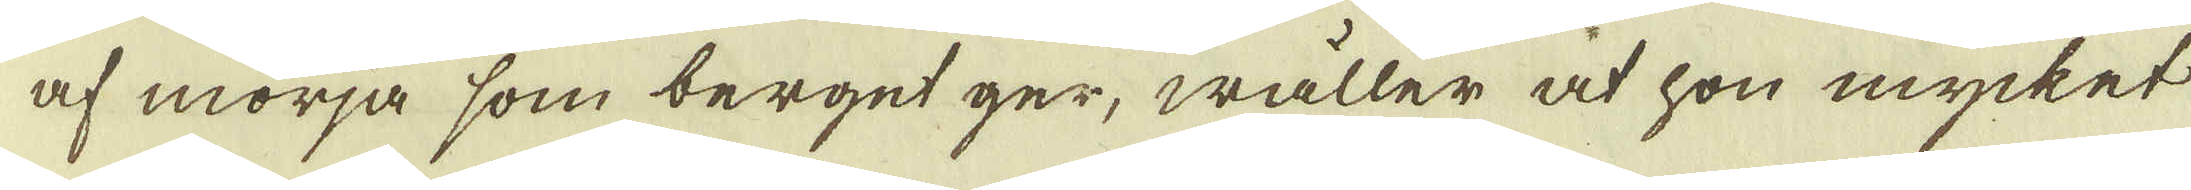af mörja som berget ger, wäller at hon mycket
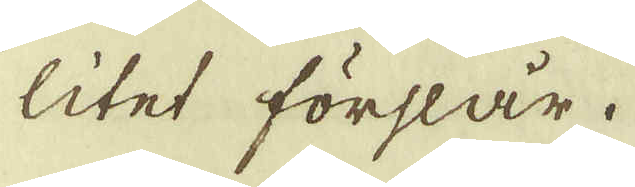litet förslår.
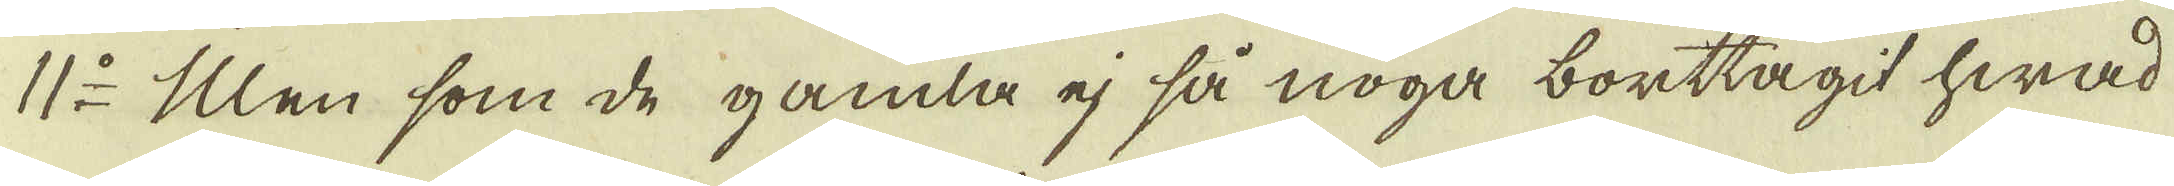11:o Men som de gamla ej så noga borttagit hwad
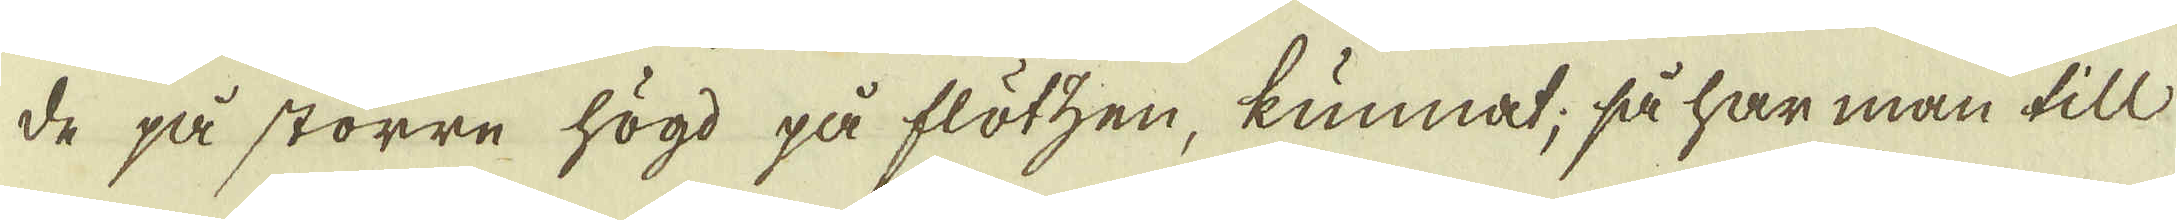de på större högd på flötzen, kunnat, så har man till
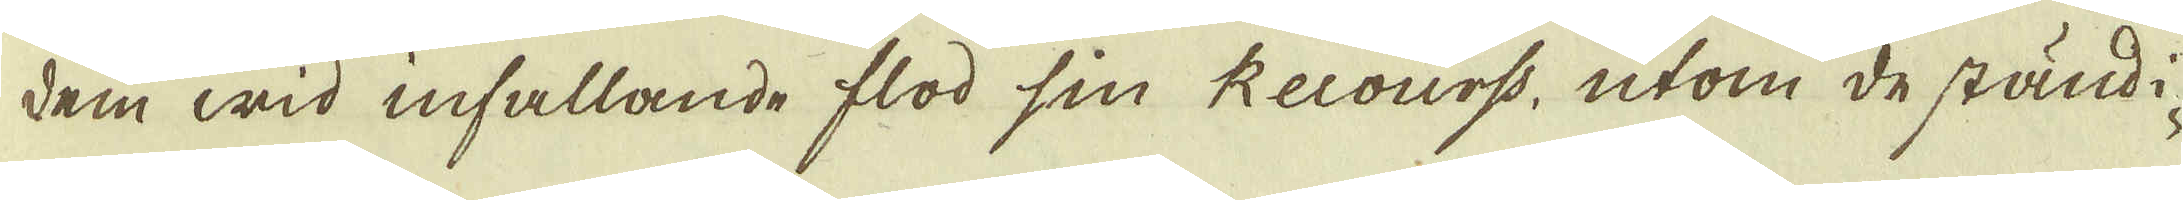dem wid infallande flod sin Recourss, utom de ständi-
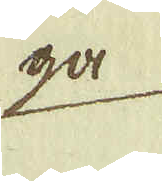ga
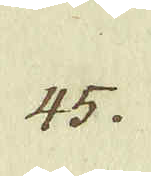45.
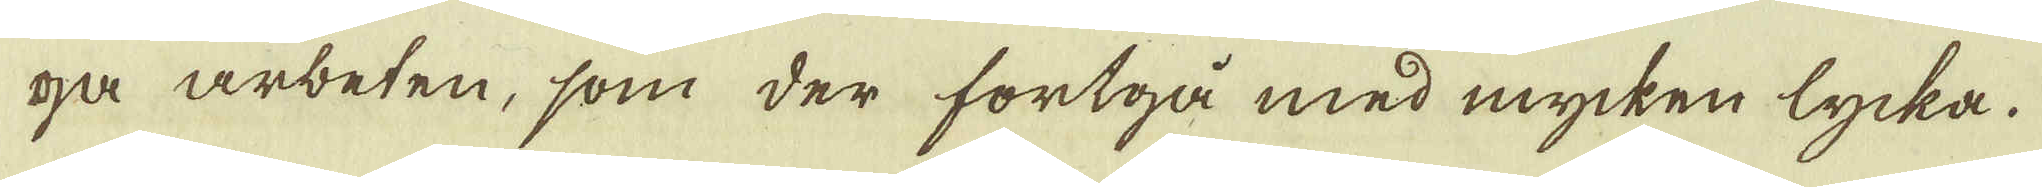ga arbeten, som der fortgå med mycken lycka.
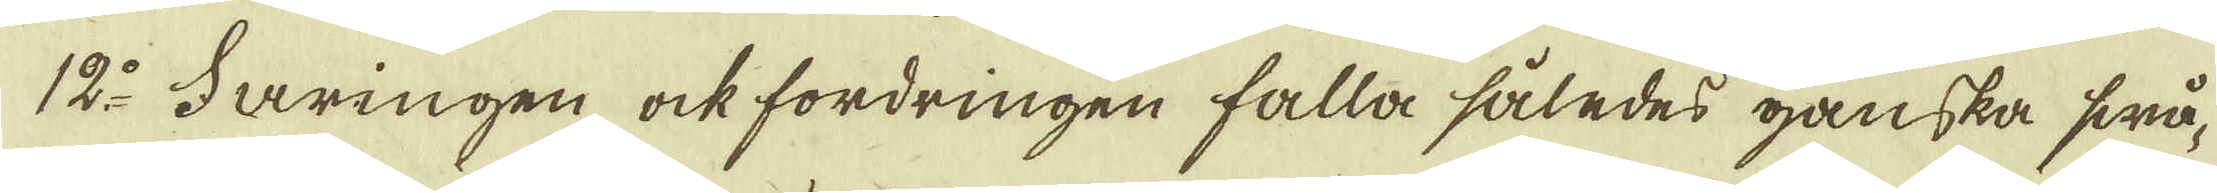12:o Faringen ock fordringen falla således ganska swå-
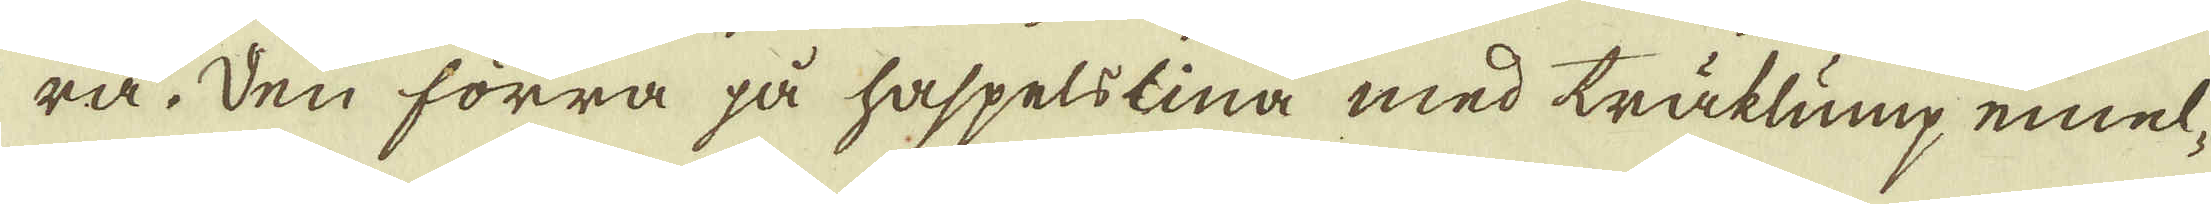ra. Den förra på haspelslina med träklump emel-
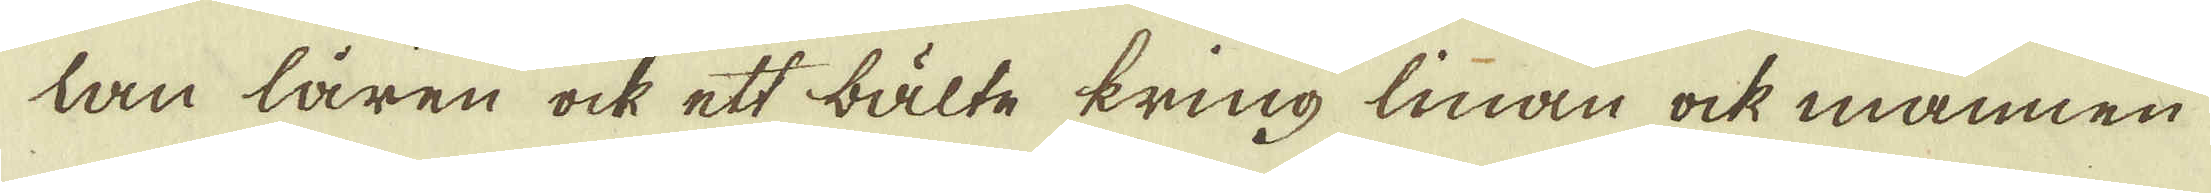tan låren ock ett bälte kring linan ock mannen
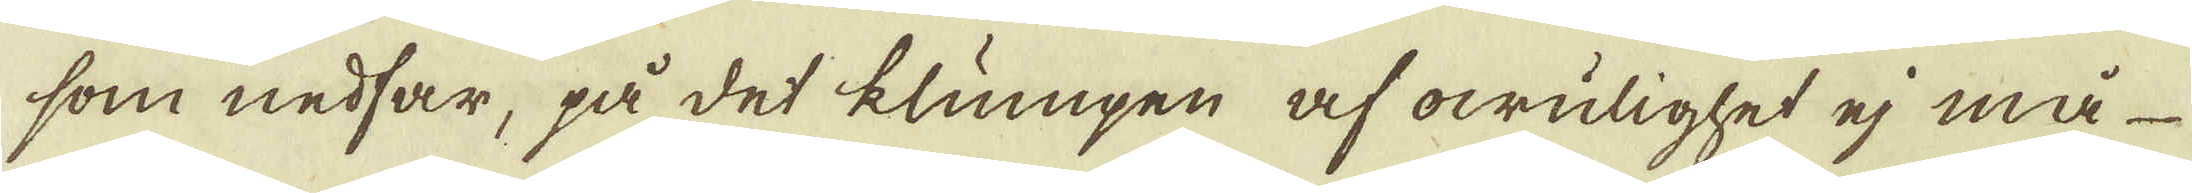som nedfar, på det klumpen af owulighet ej må
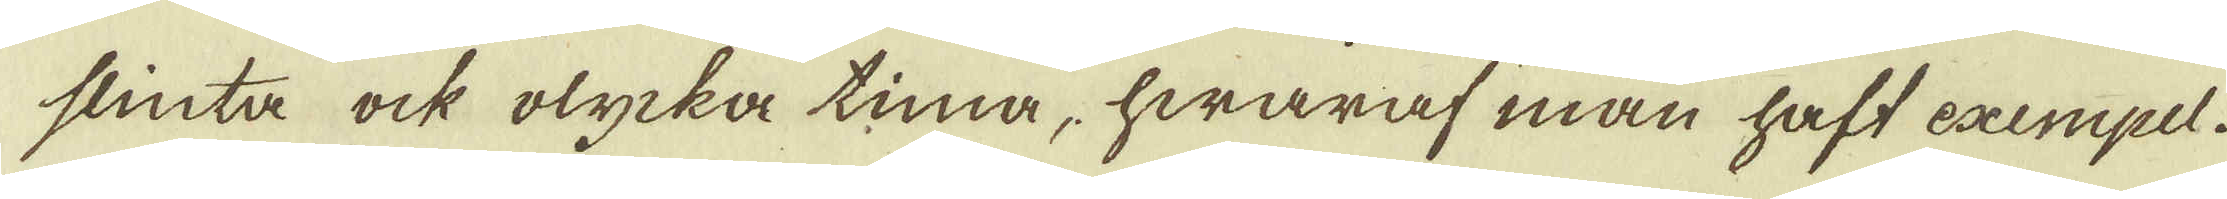slinta ock olycka tima, hwaraf man haft exempel.
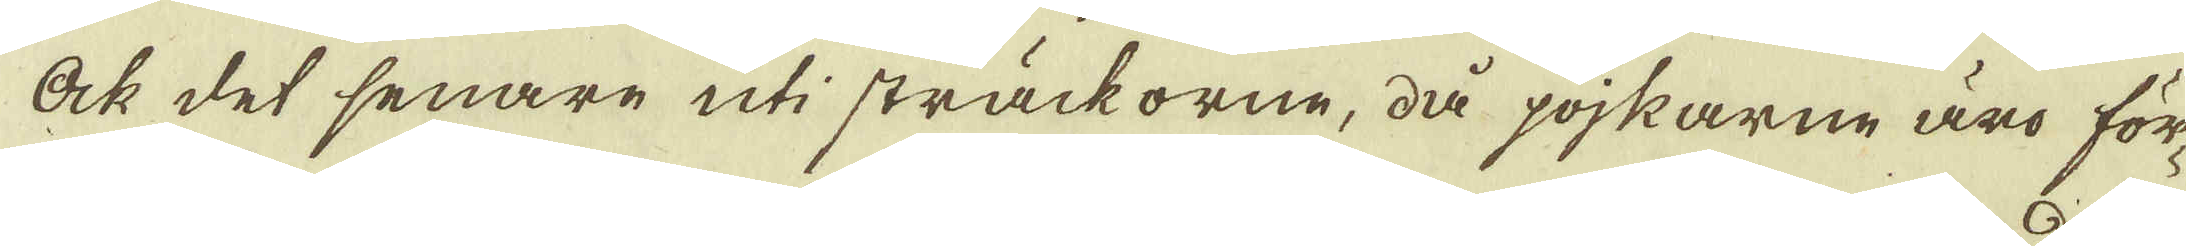Ock det senare uti sträckorne, då pojkarne äro för-
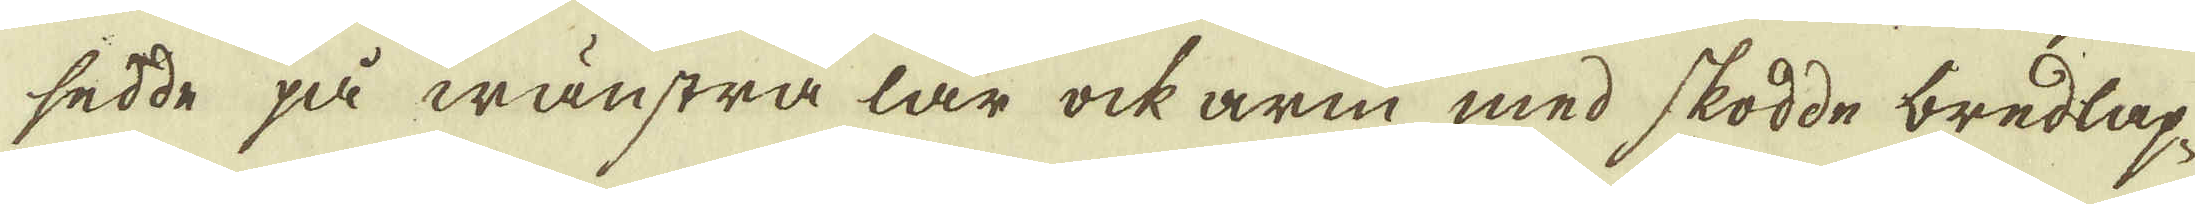sedde på wänstra lår ock arm med skodde bredlap-
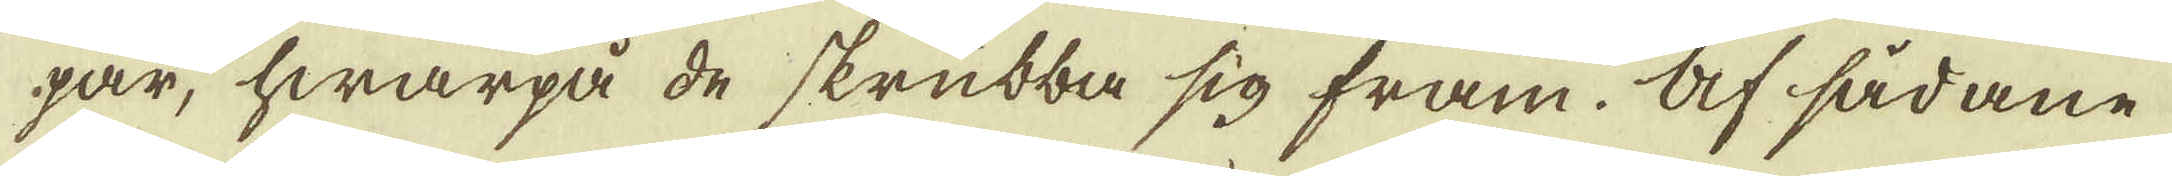par, hwarpå de skrubba sig fram. Af sådane
